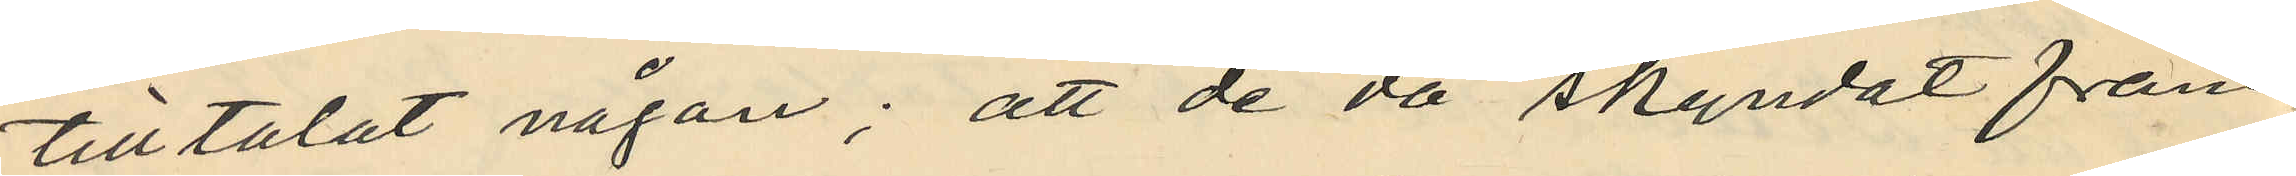tilltalat någon; att de då skyndat fram¬
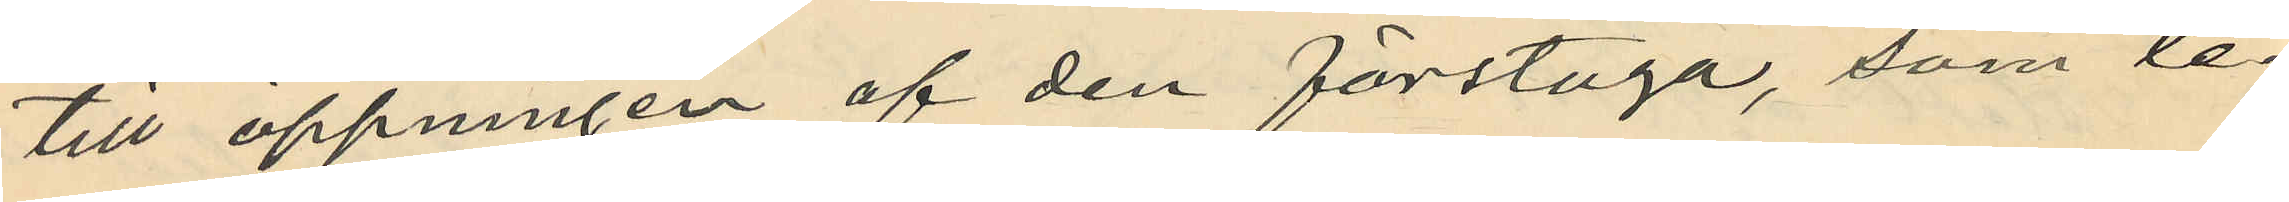till öppningen af den förstuga, som le¬
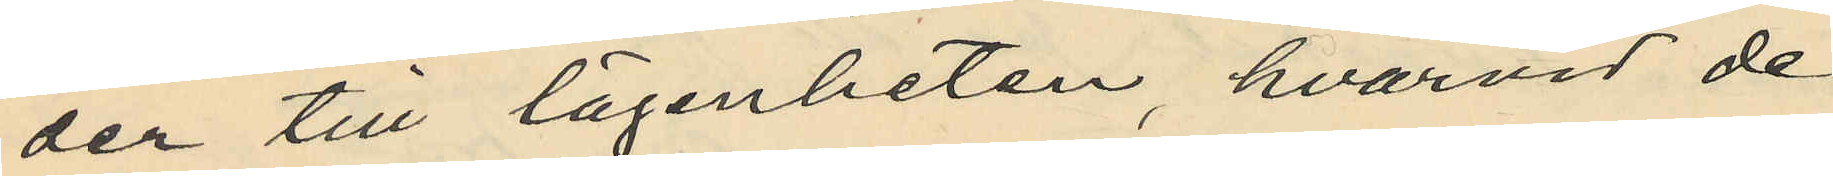der till lägenheten, hvarvid de
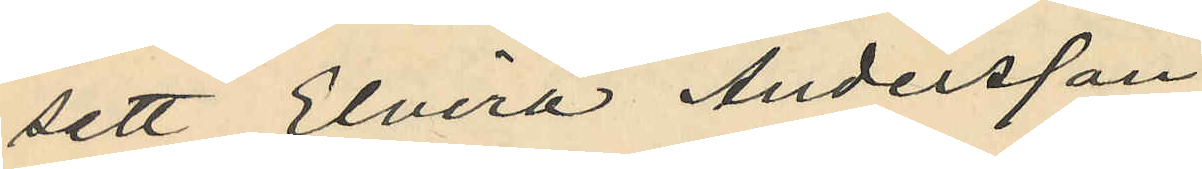sett Elvira Andersson
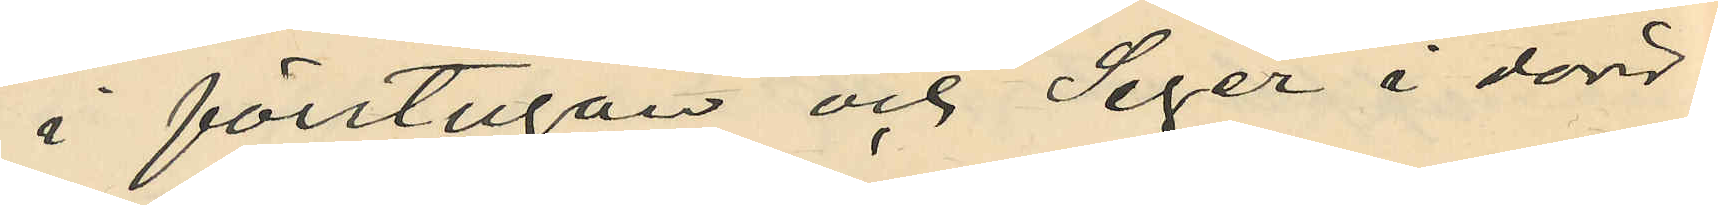i förstugan och Seger i dörr¬
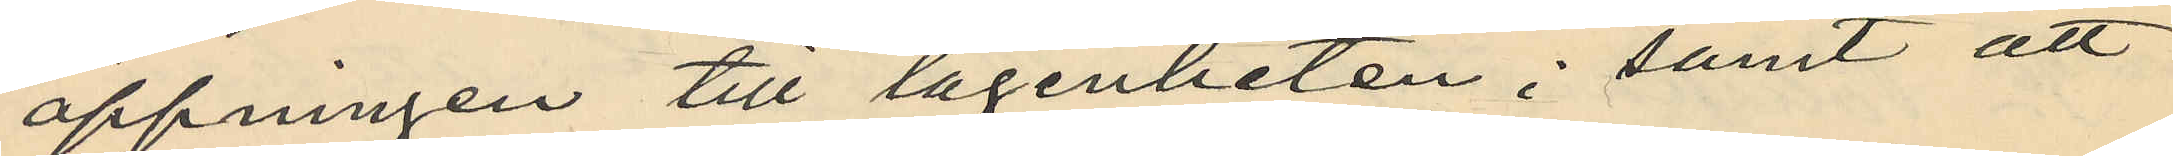öppningen till lägenheten; samt att
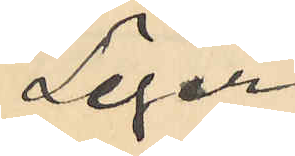Seger
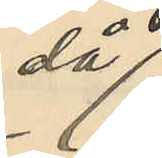då
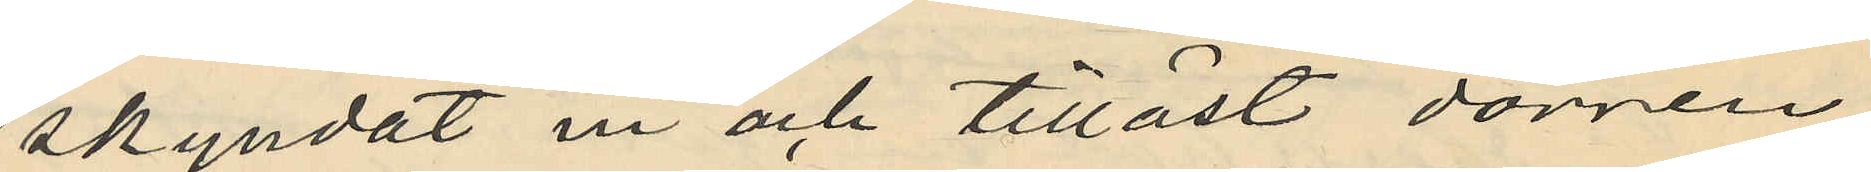skyndat in och tillåst dörren
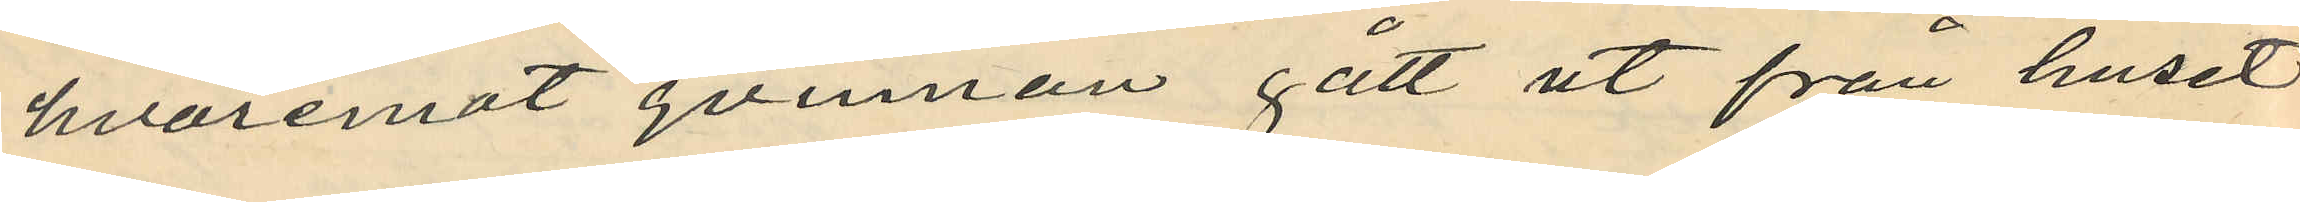hvaremot qvinnan gått ut från huset
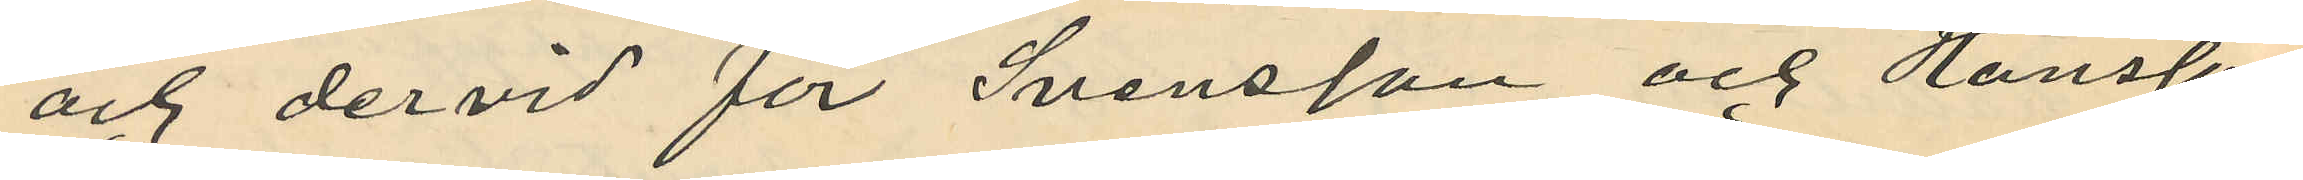och dervid för Svensson och Hansson
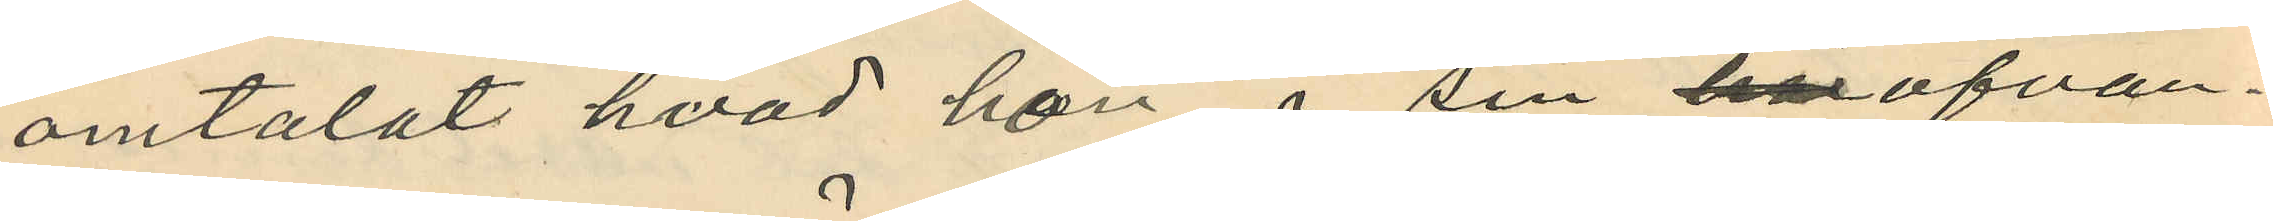omtalat hvad hon i sin härofvan¬
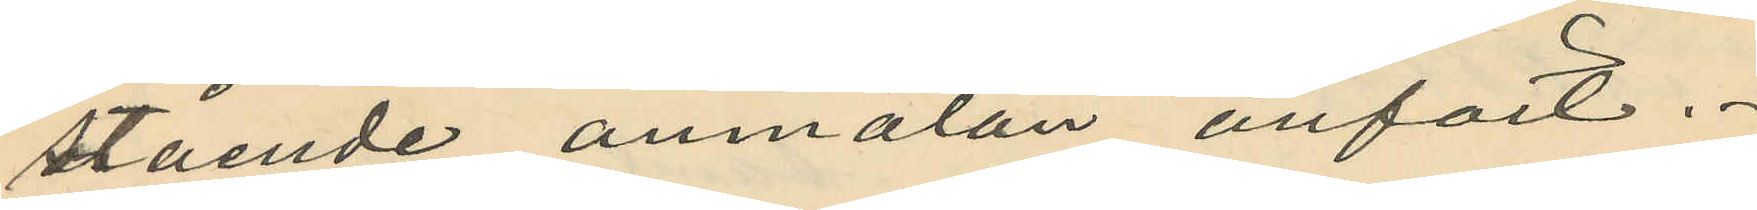stående anmälan anfört.
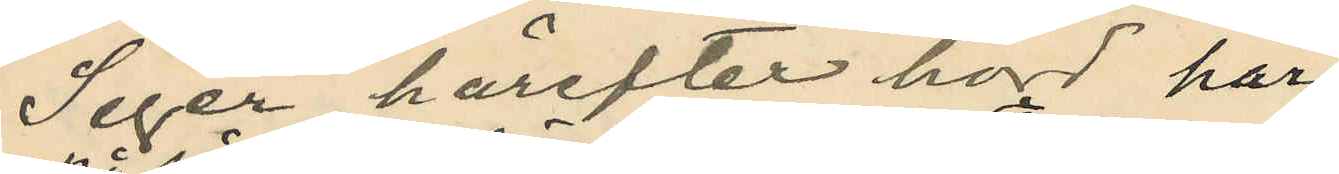Seger härefter hörd har
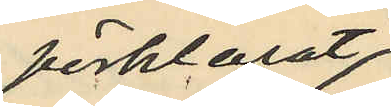förklarat,
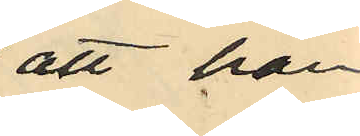att han
